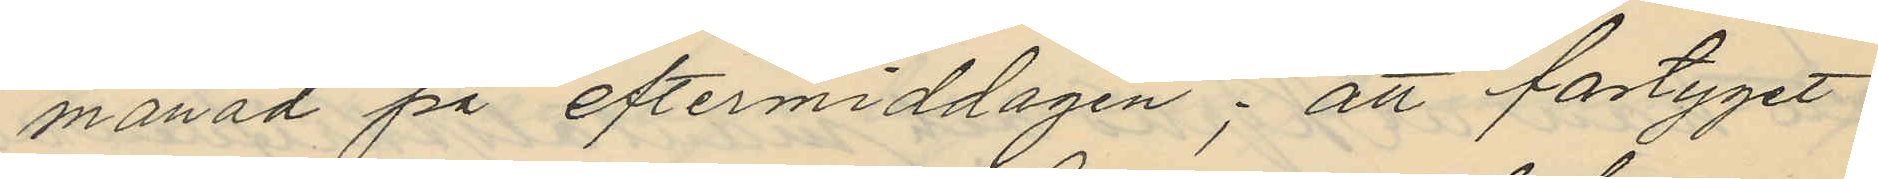månad på eftermiddagen; att fartyget
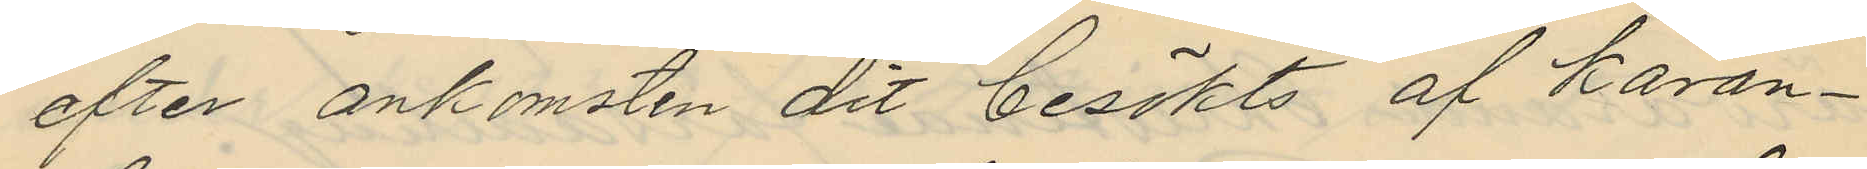efter ankomsten dit besökts af karan¬
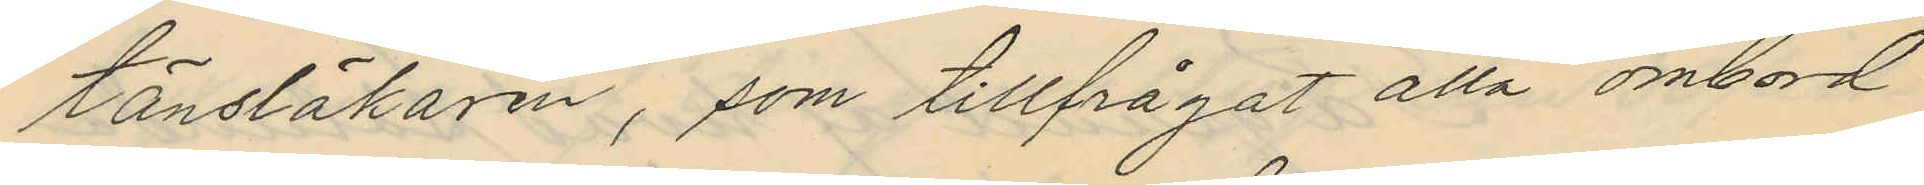tänsläkaren, som tillfrågat alla ombord
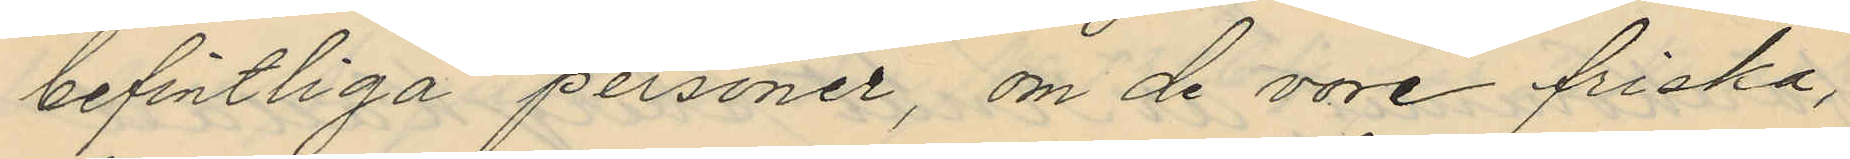befintliga personer, om de vore friska,
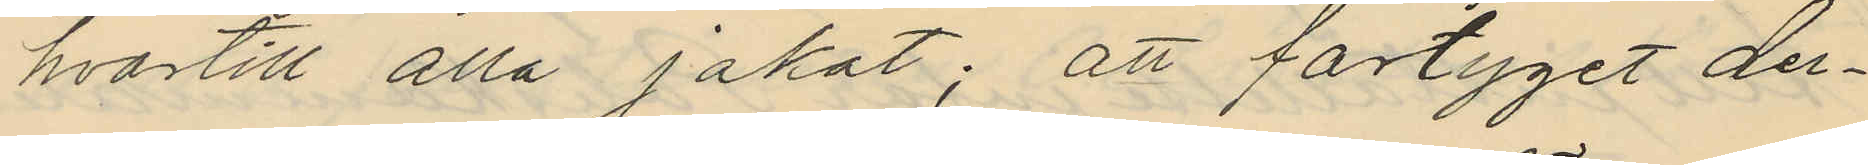hvartill alla jakat; att fartyget der¬
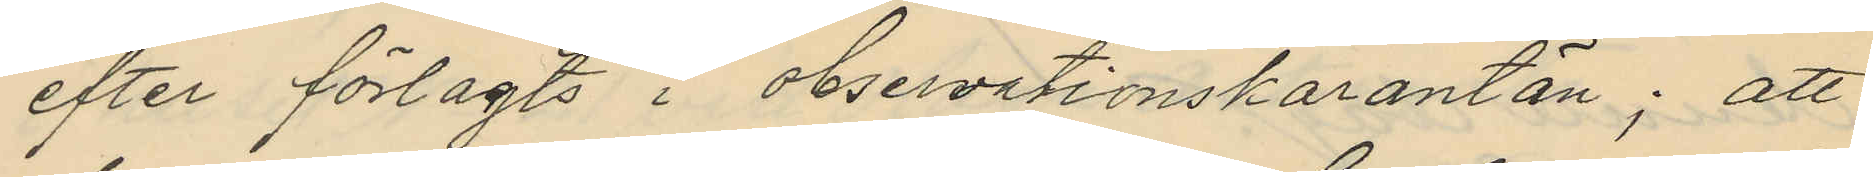efter förlagts i observationskarantän; att
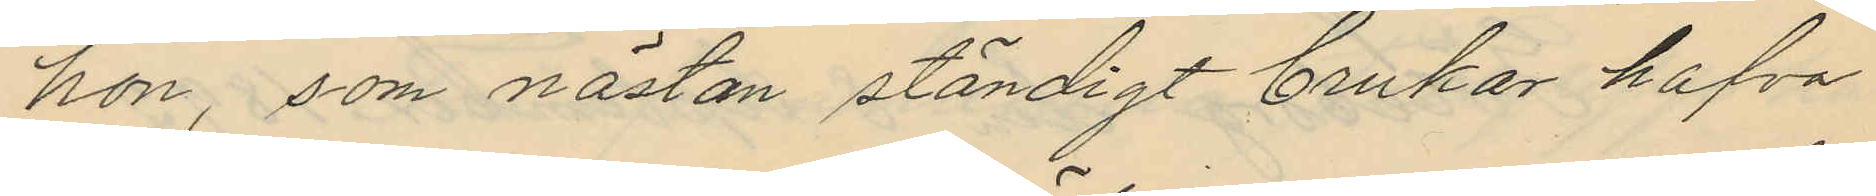hon, som nästan ständigt brukar hafva
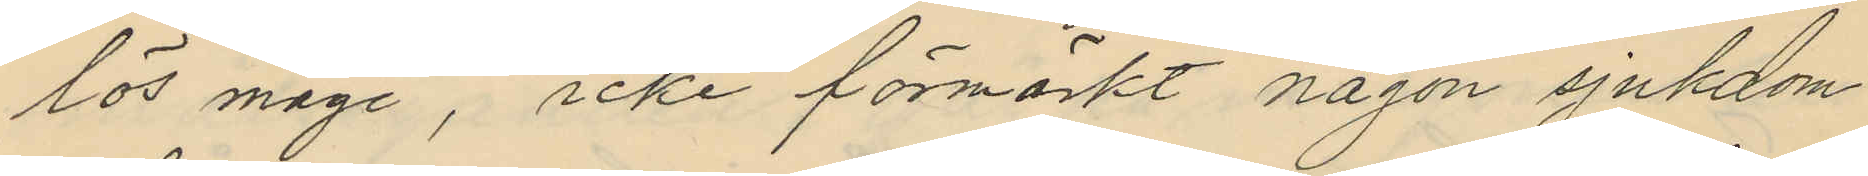lös mage, icke förmärkt någon sjukdom
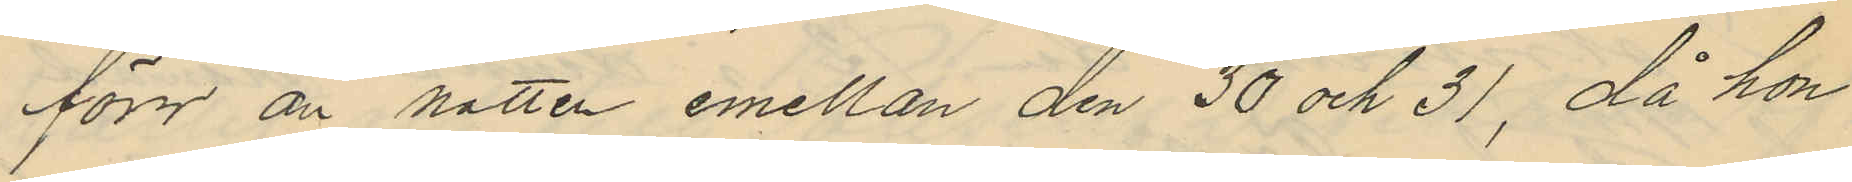förr än natten emellan den 30 och 31, då hon
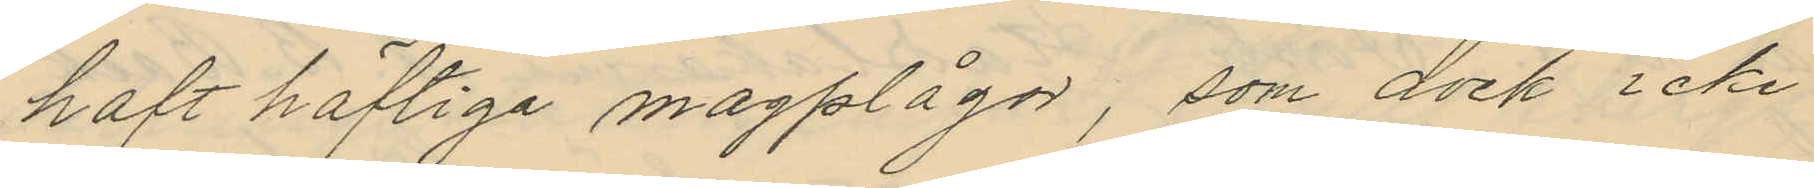haft häftiga magplågor, som dock icke
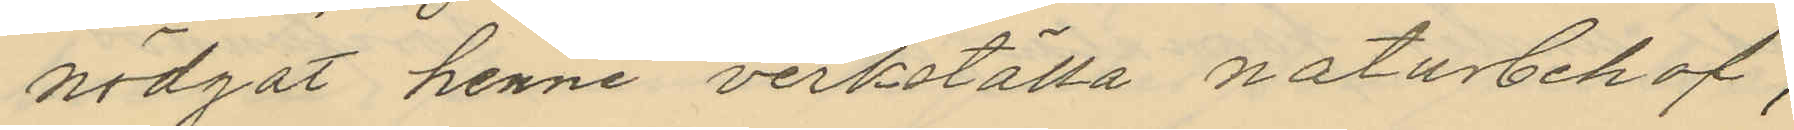nödgat henne verkställa naturbehof,
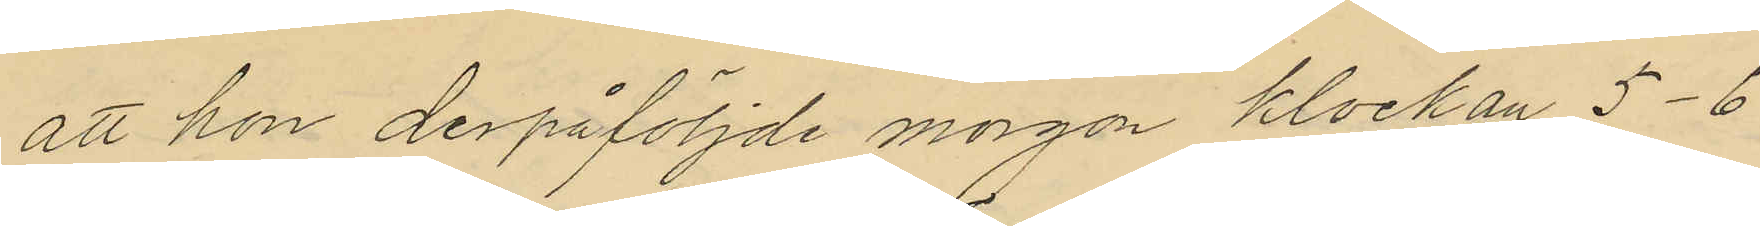att hon derpåföljde morgon klockan 5-6
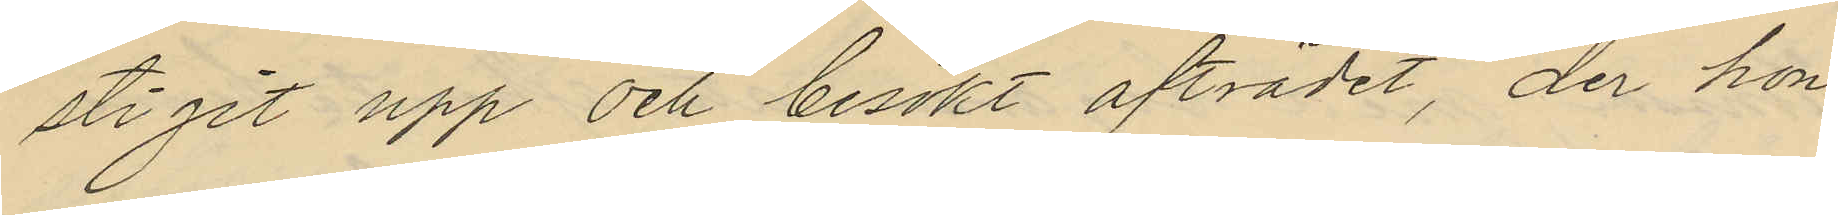stigit upp och besökt afträdet, der hon
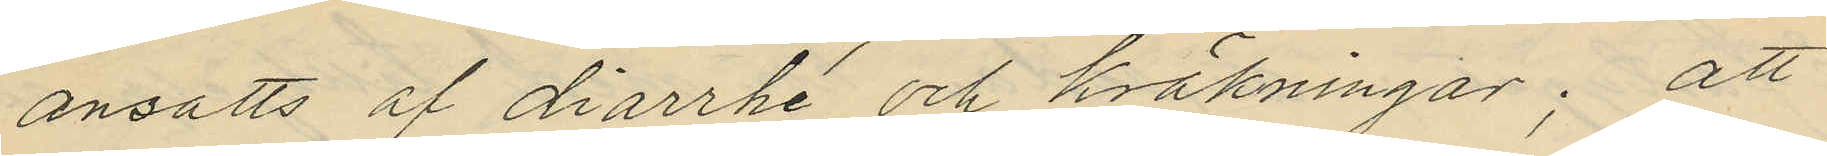ansatts af diarrhé och kräkningar; att
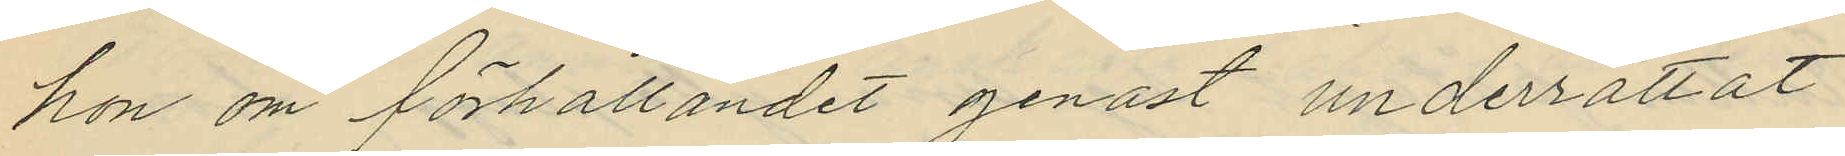hon om förhållandet genast underrättat
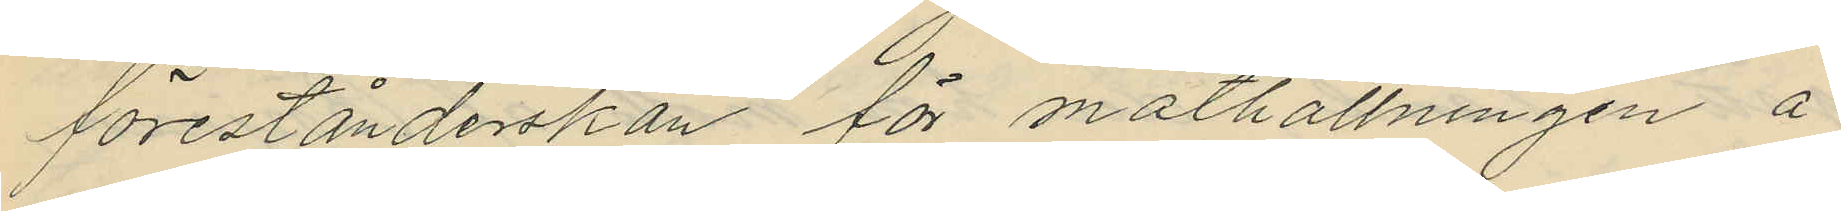förestånderskan för mathållningen å
